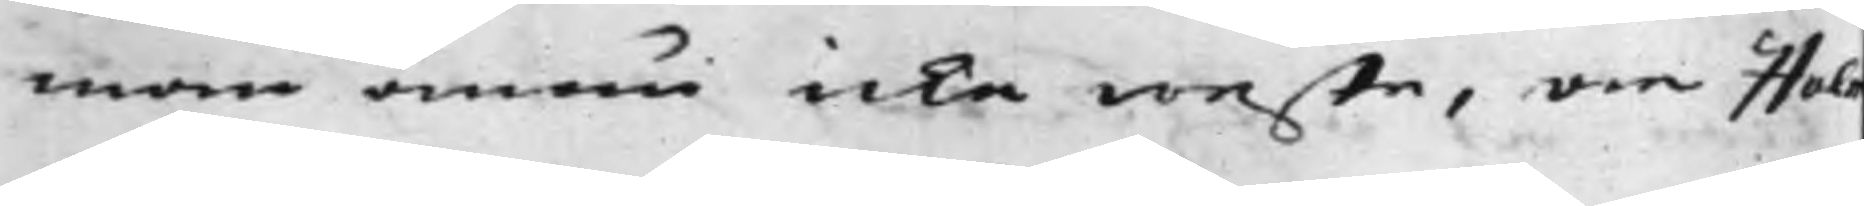man ännu icke weste, om Hol¬
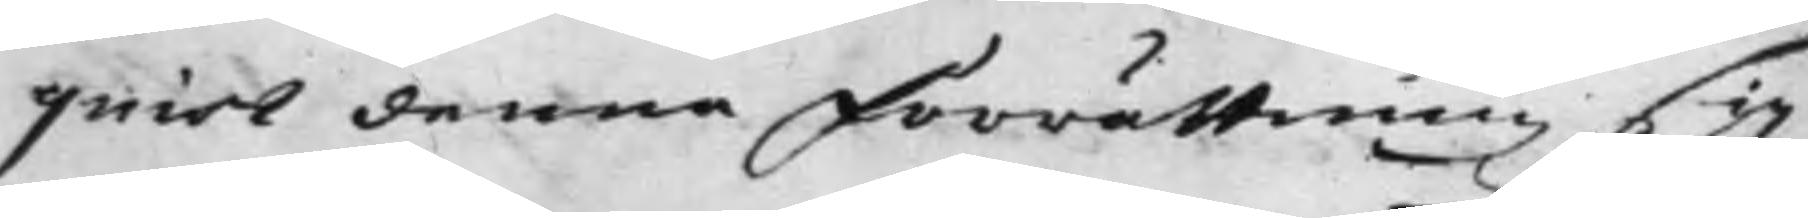quist denna Förrättning sig
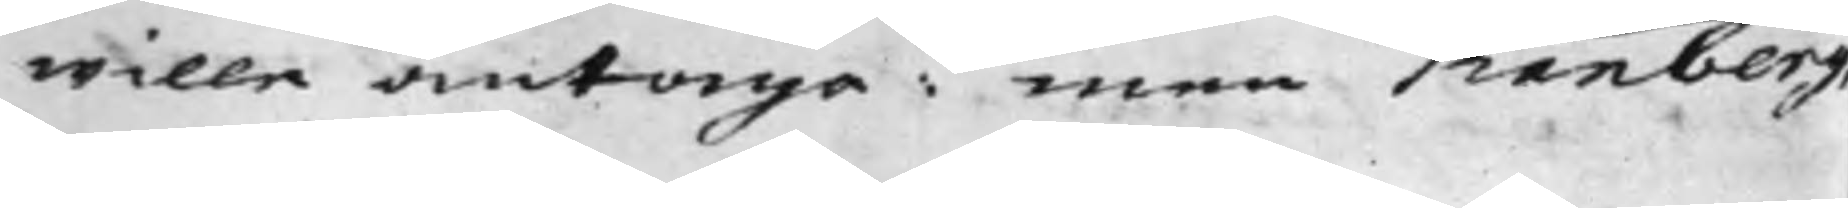wille antaga: men Tranberg,
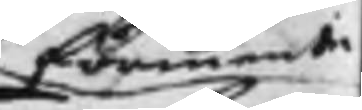förmente
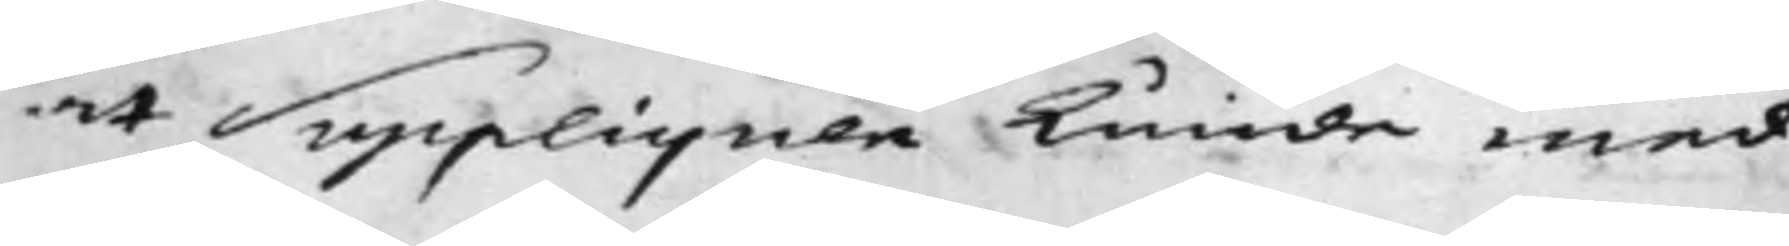at Suppliquen kunde med
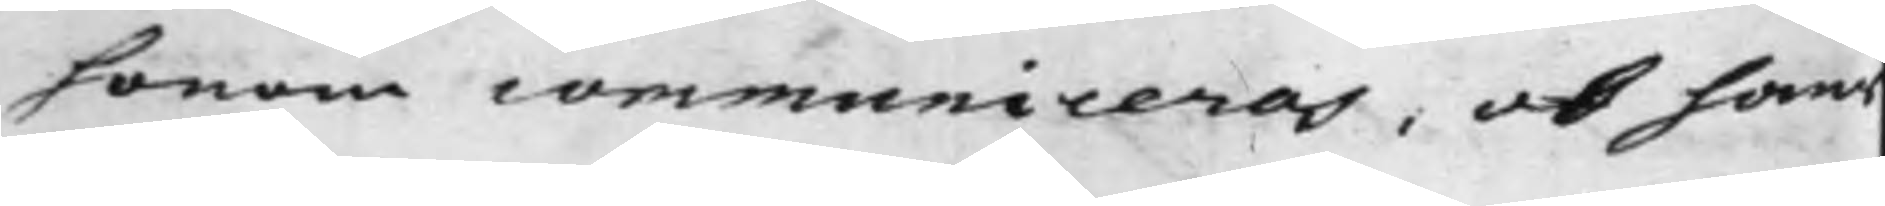honom communiceras, ok hans
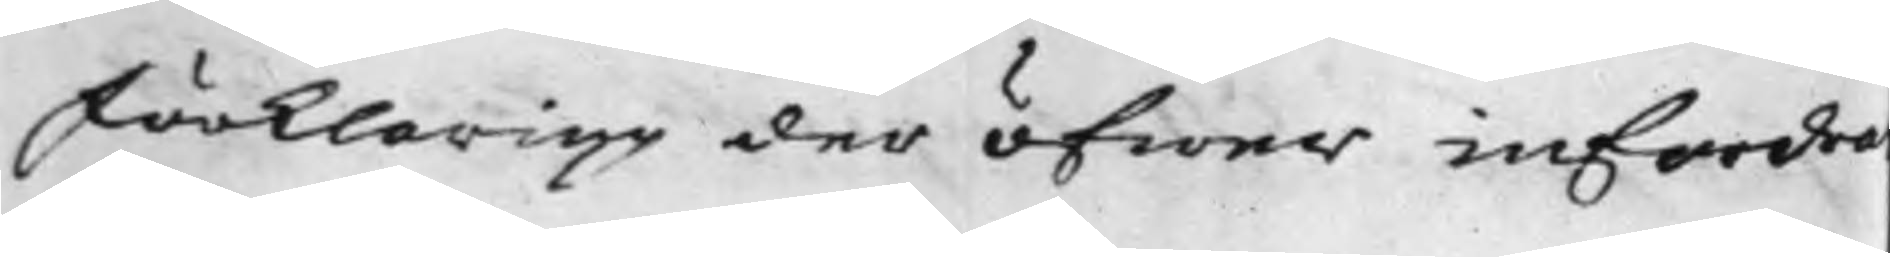Förklaring der öfwer infordra
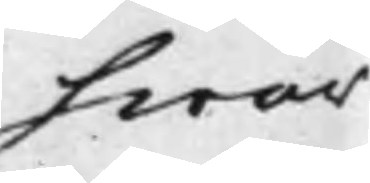hwar
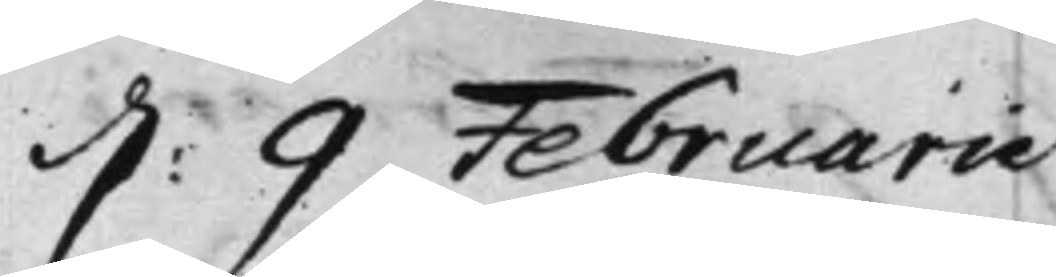d: 9 Februarii
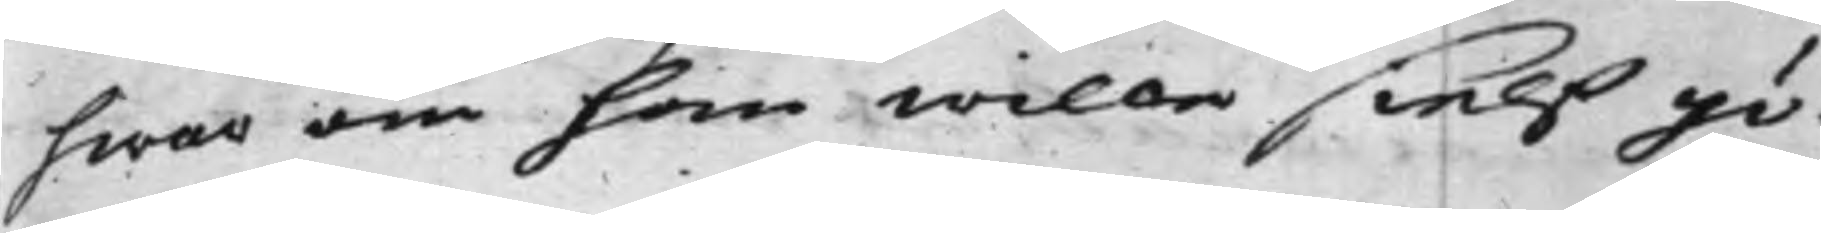hwar om han wille sielf gö¬
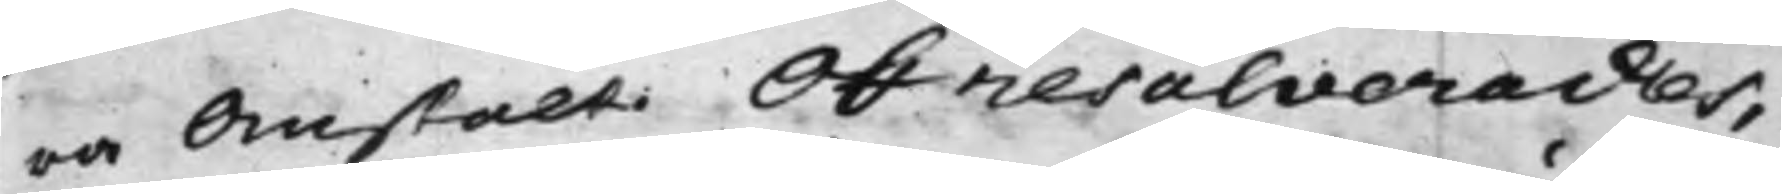ra Omstalt. Och resolverades,
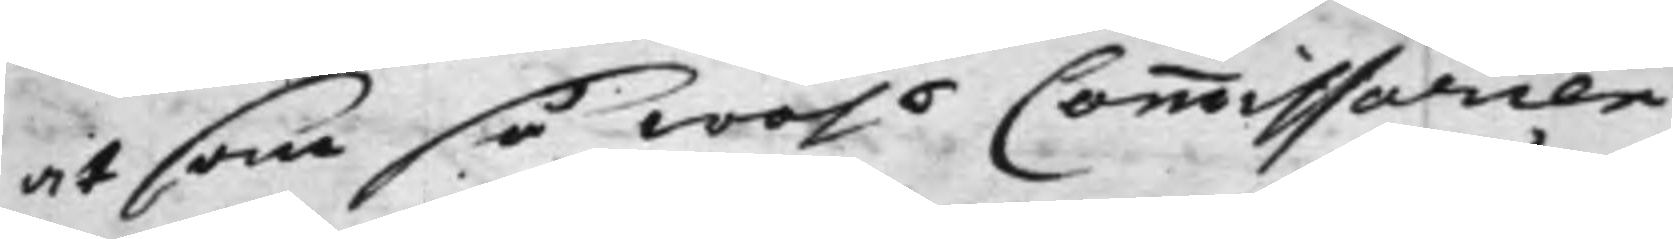at som så wähl Commissarien
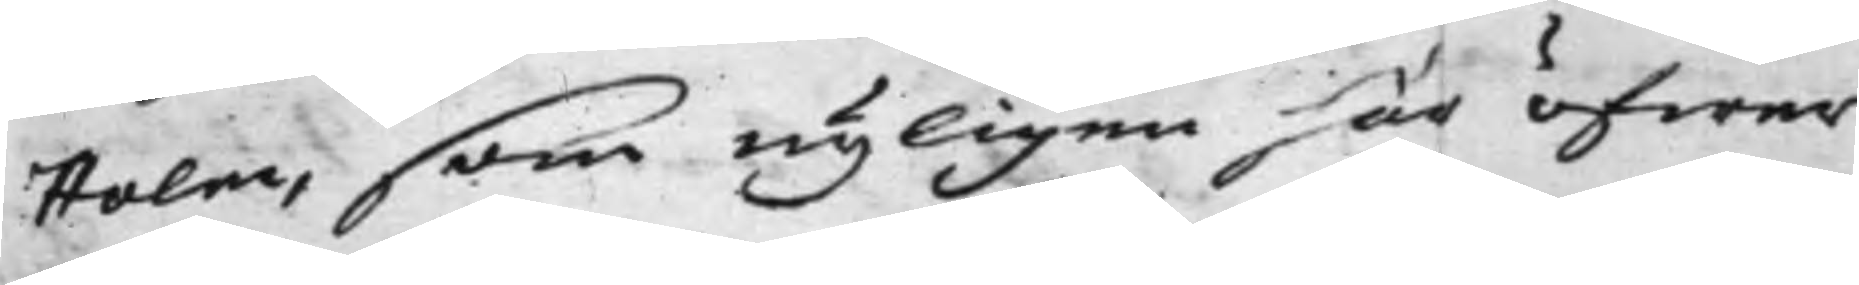Holm, som nyligen här öfwer
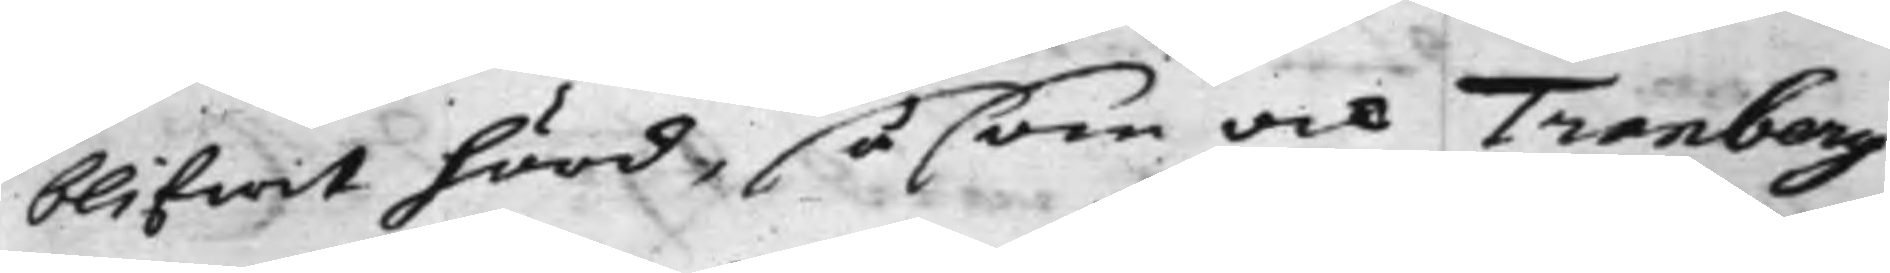blifwit hörd, såsom ock Tranberg
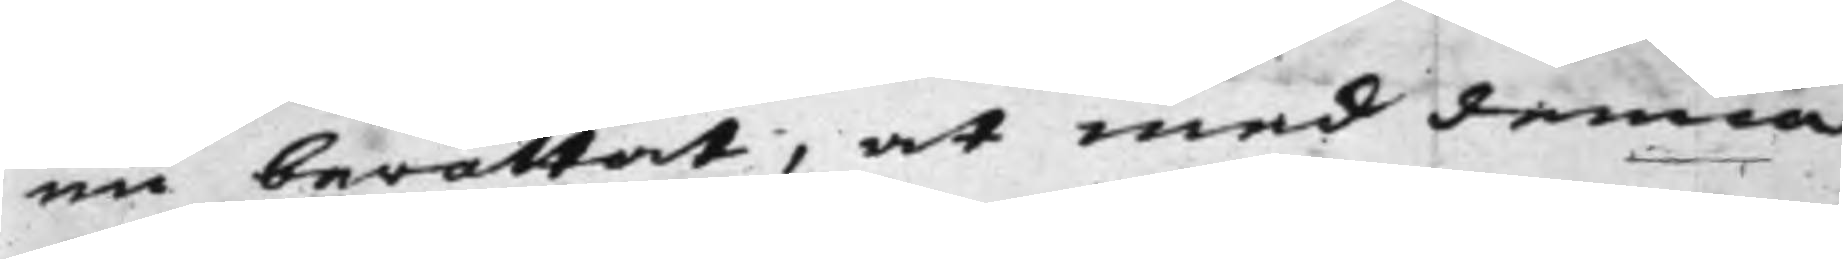nu berättat, at med denna
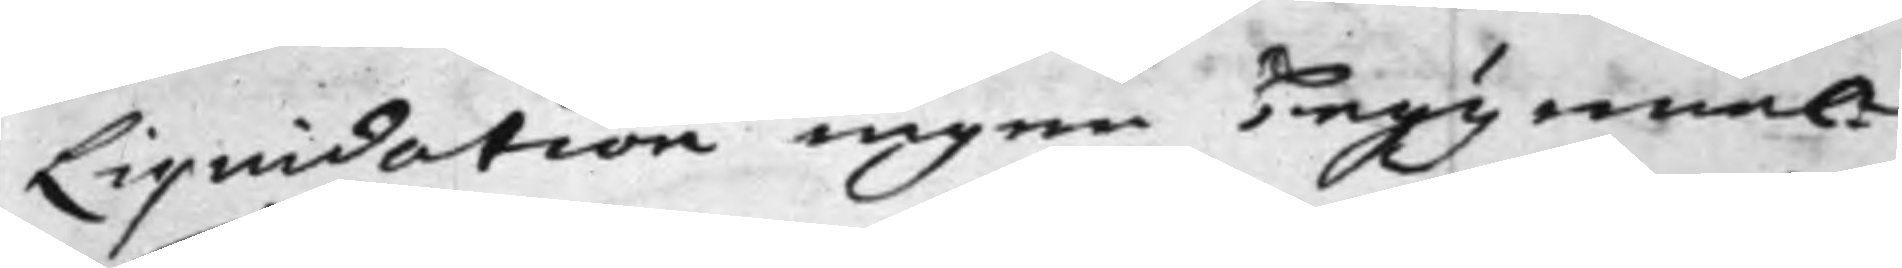Liquidation ingen begynnel¬
